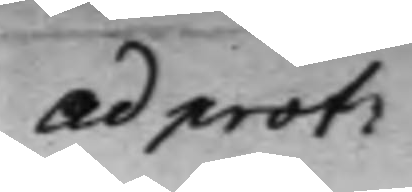ad prot:
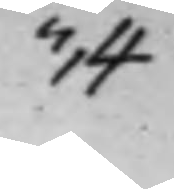34
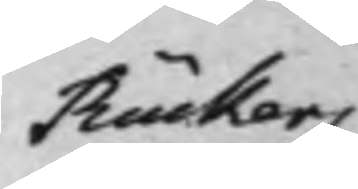Rückers
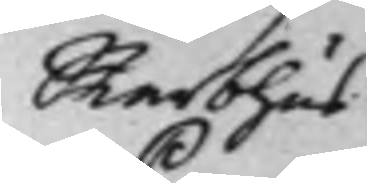Sterbhus
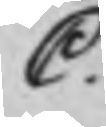C.
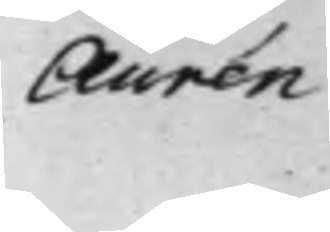Aurén
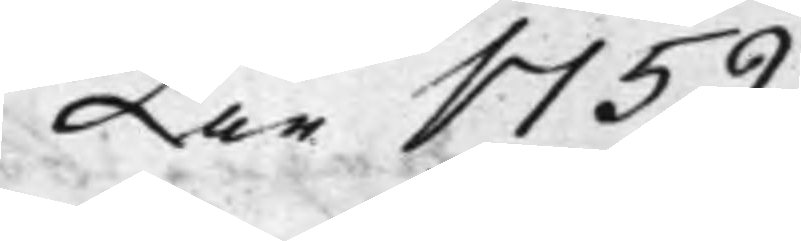År 1759.
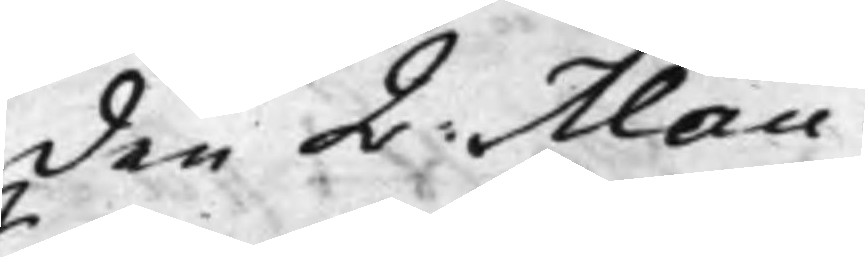den 2: Maii
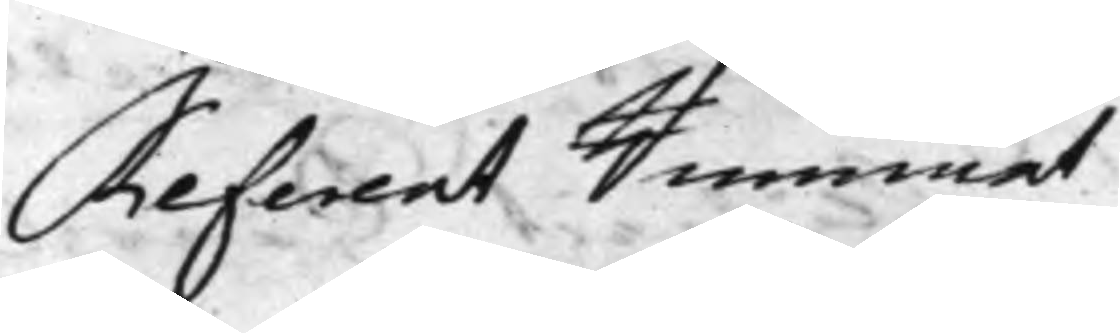Referent Rummet
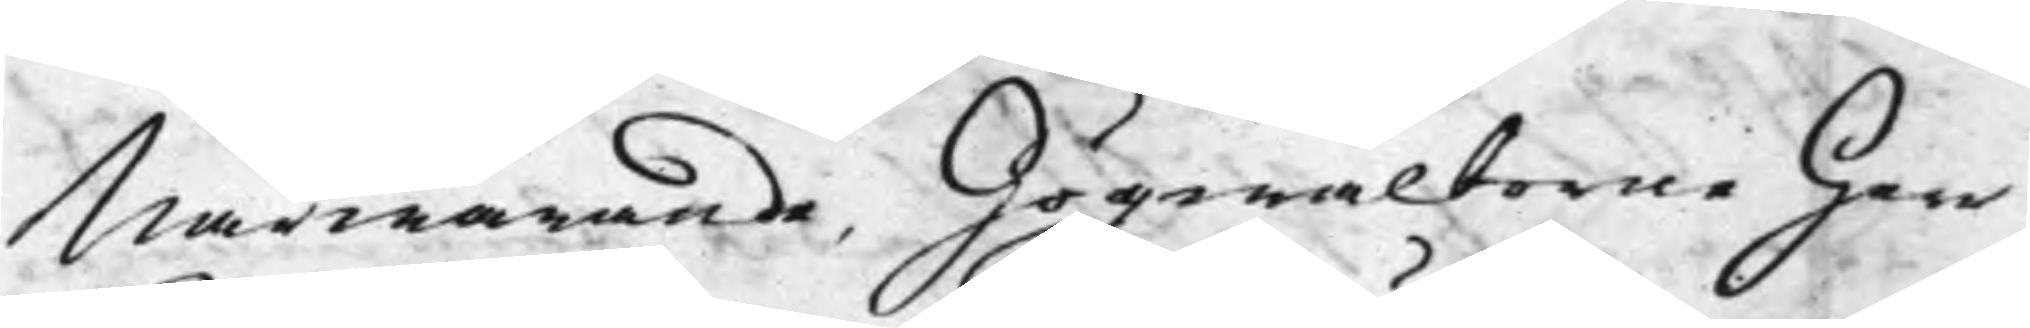Närwarande, Högwälborne Herr
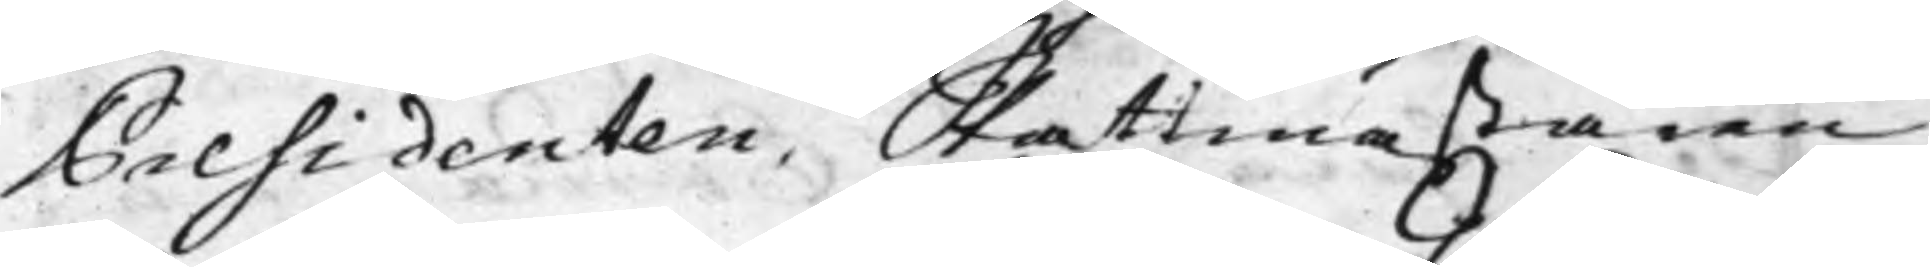Presidenten, Skattmästaren
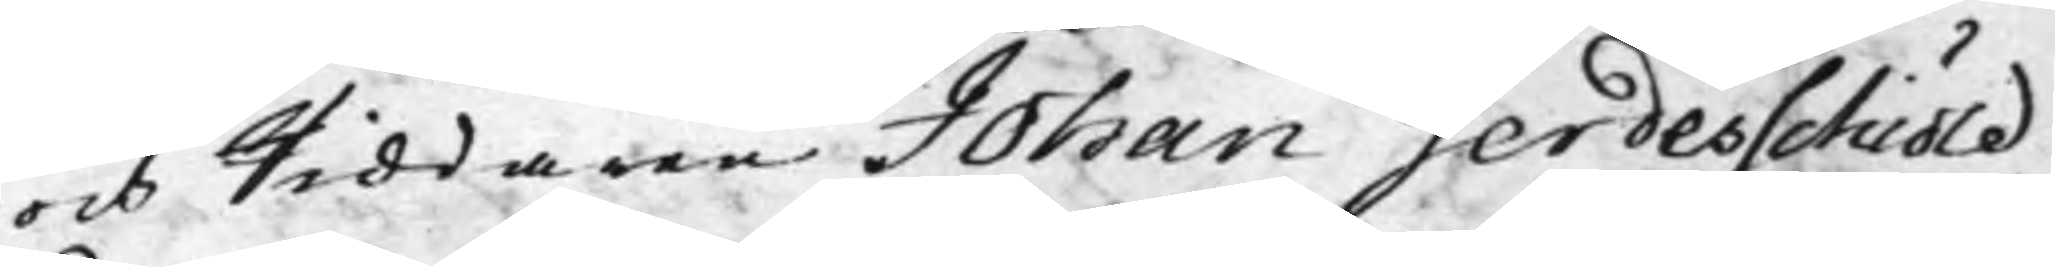och Riddaren Johan Gerdesschiöld
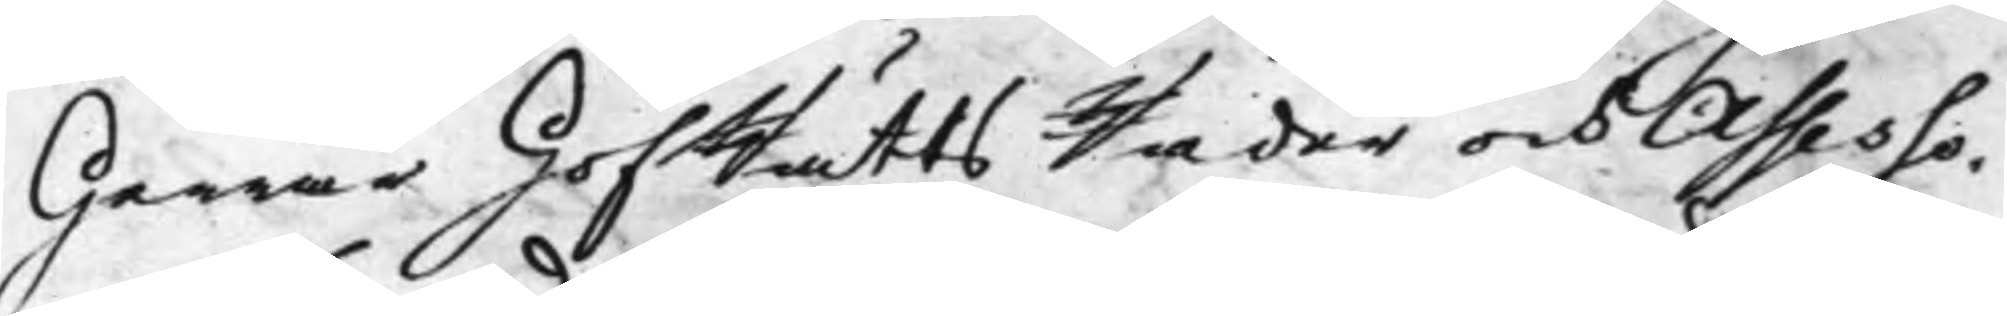Herrar HofRätts Råder och Assesso¬
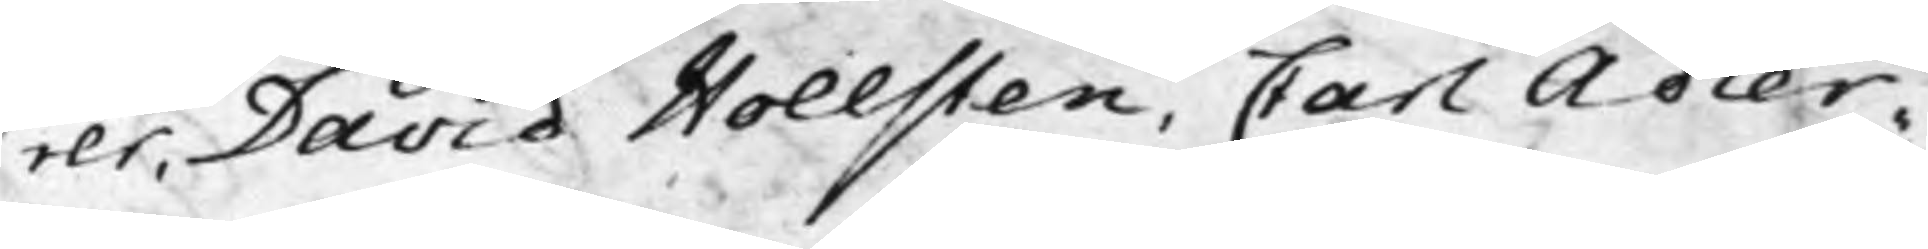rer, David Hollsten, Carl Adler¬
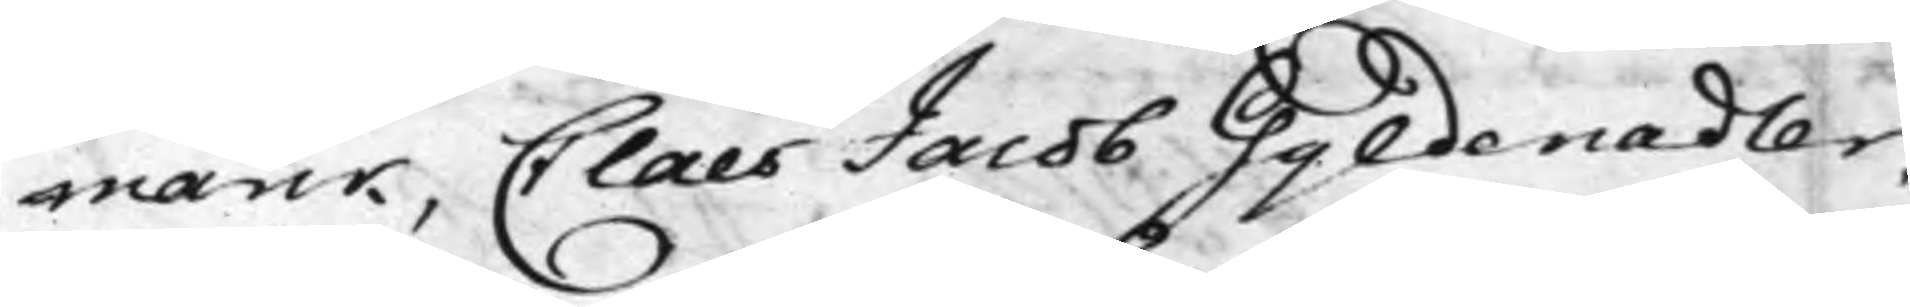marck, Claes Jacob Gyldenadler,
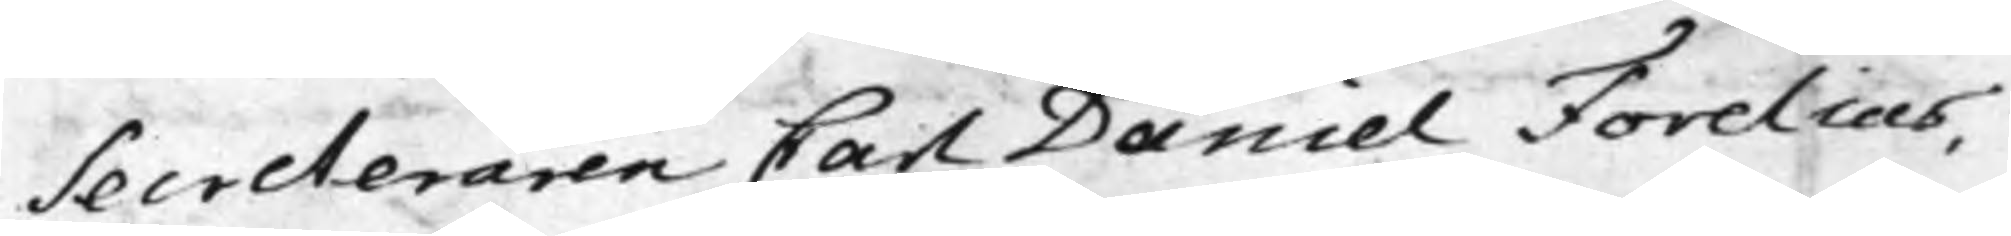Secreteraren Carl Daniel Forelius,
